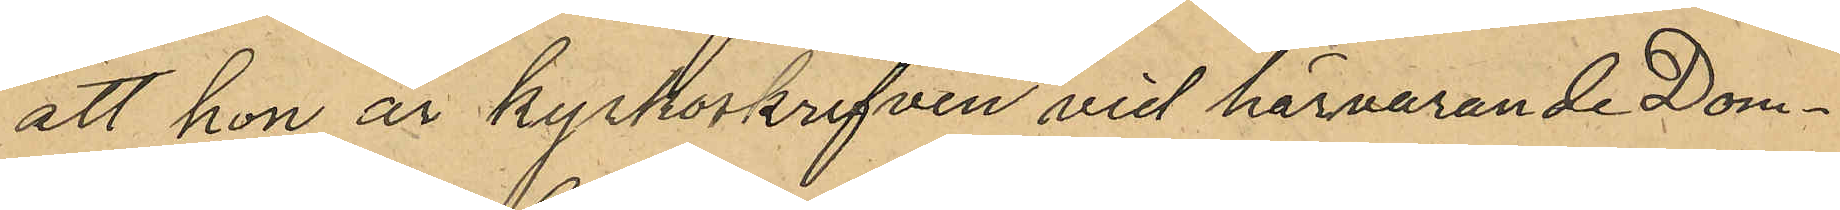att hon är kyrkoskrifven vid härvarande Dom¬
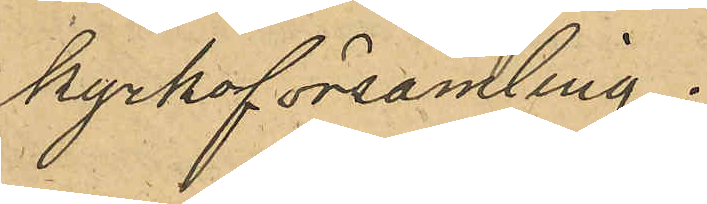kyrkoförsamling.
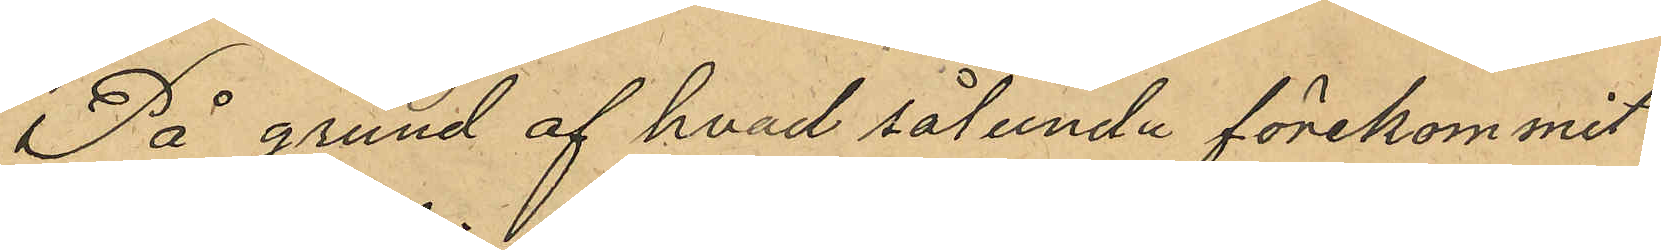På grund af hvad sålunda förekommit
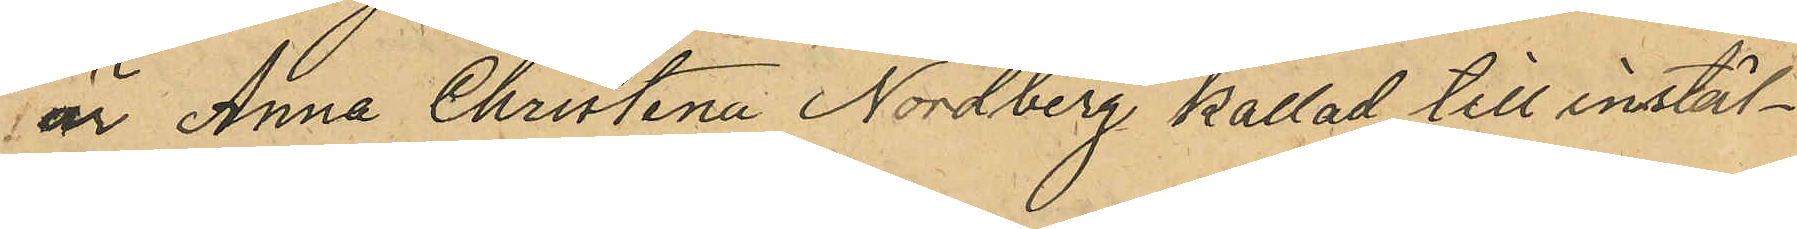är Anna Christina Nordberg kallad till instäl¬
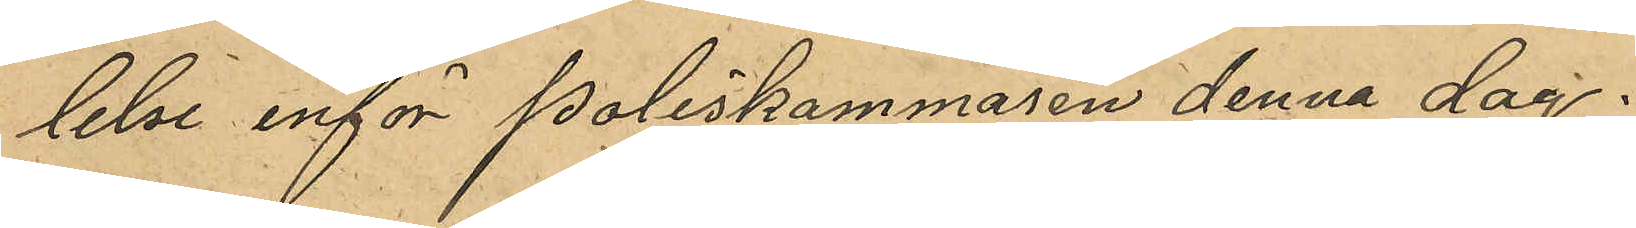lelse inför poliskammaren denna dag.
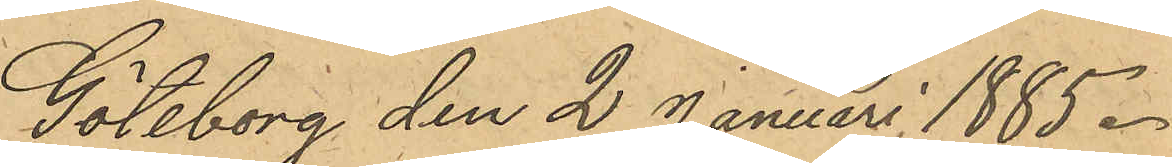Göteborg den 2 Januari 1885.
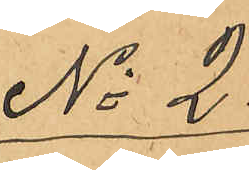No 2.
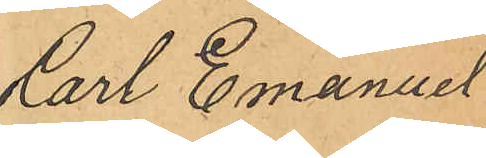Carl Emanuel
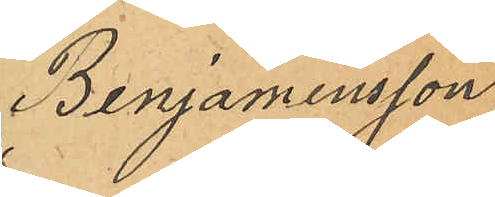Benjaminsson.
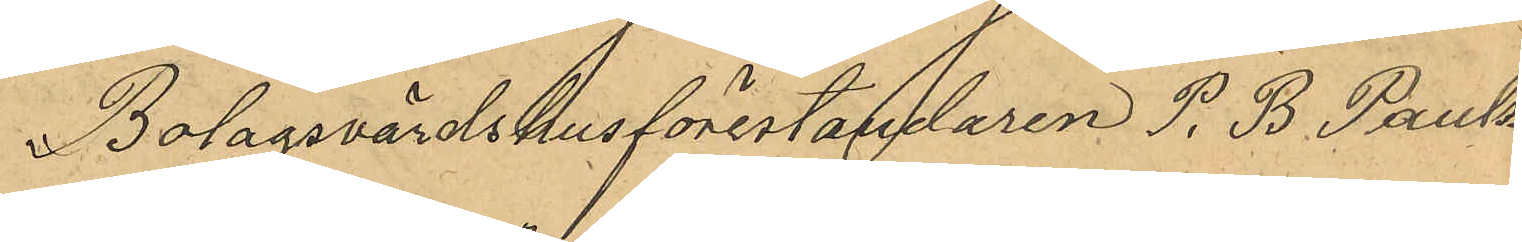Bolagsvärdshusförestandaren P. B. Pauls¬
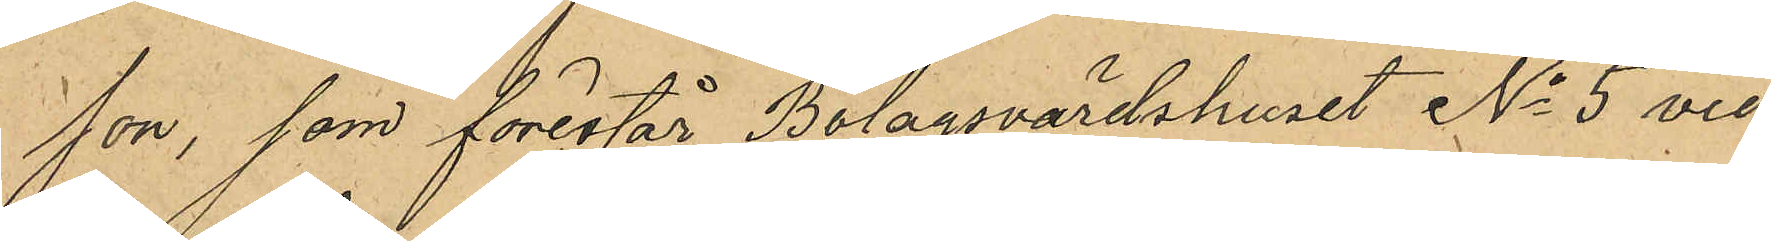son, som förestår Bolagsvärdshuset No 5 vid
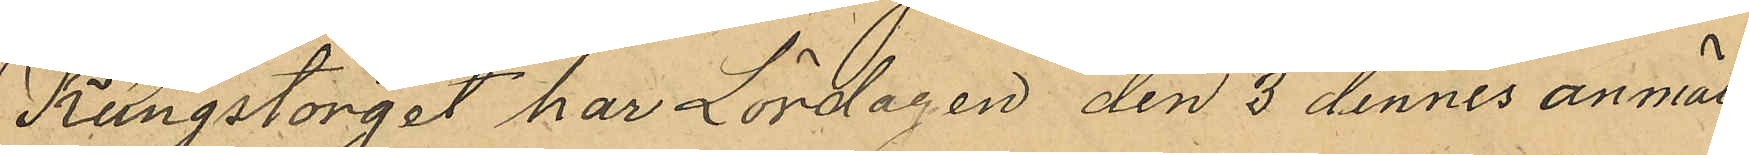Kungstorget har Lördagen den 3 dennes anmält
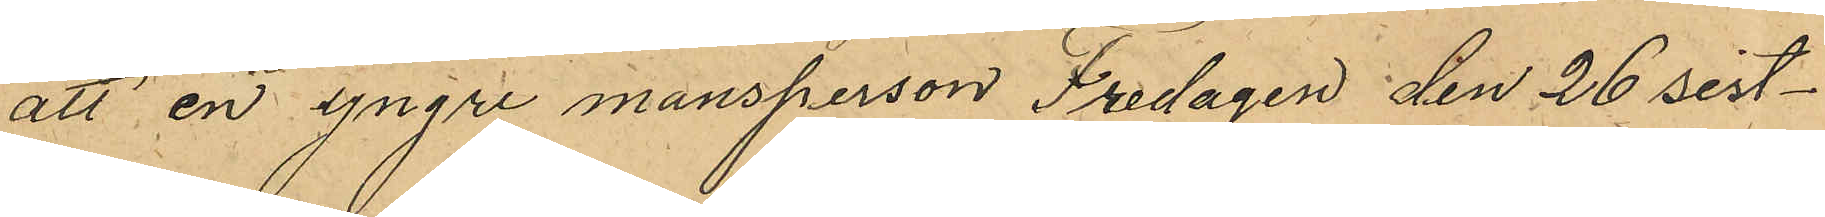att en yngre mansperson Fredagen den 26 sist¬
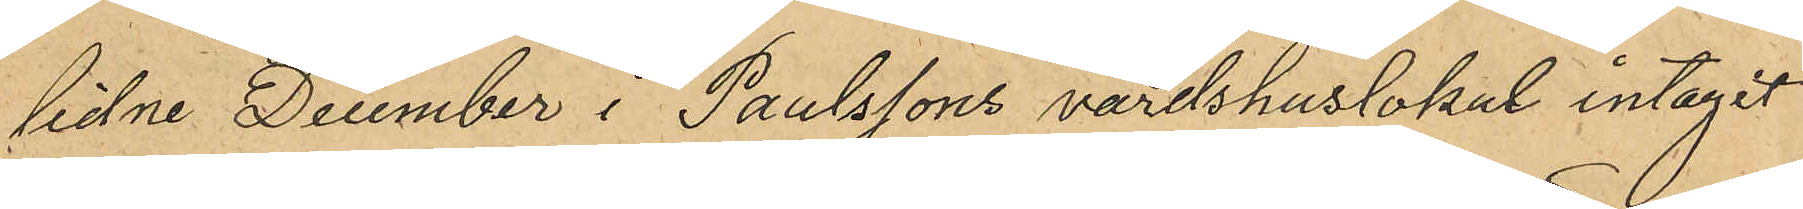lidne December i Paulssons värdshuslokal intagit
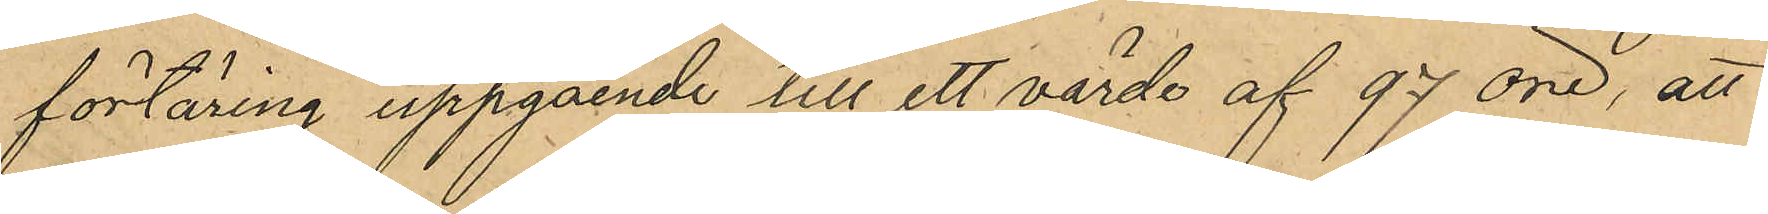förtäring uppgående till ett värde af 97 öre, att
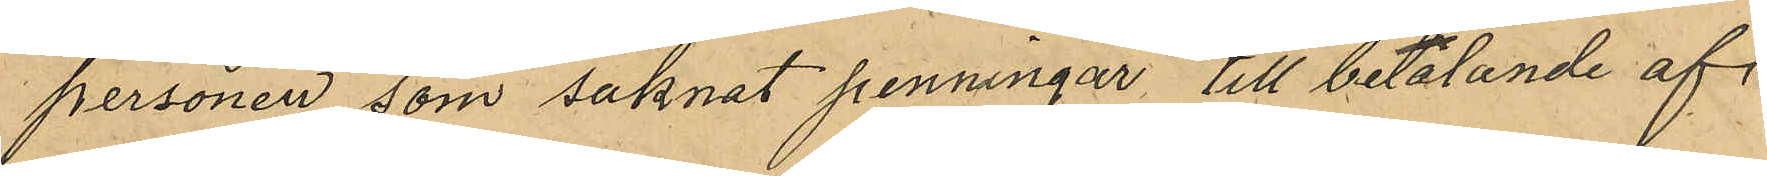personen som saknat penningar, till betalande af
